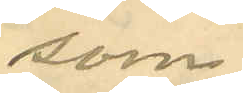som
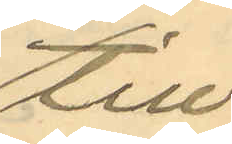till
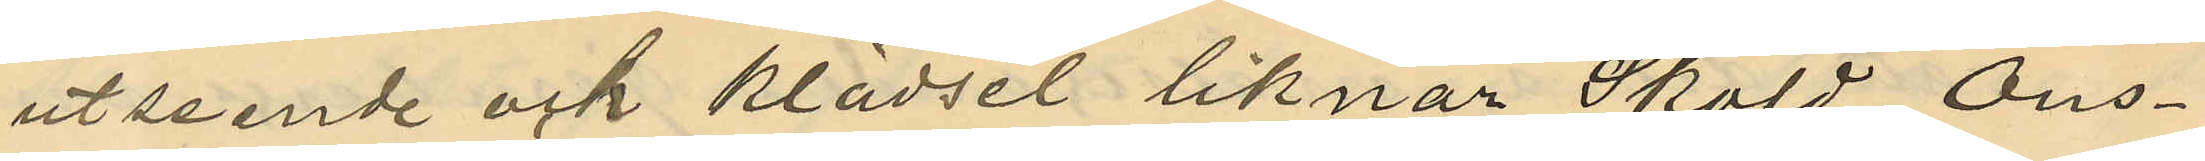utseende och klädsel liknar Sköld Ons¬
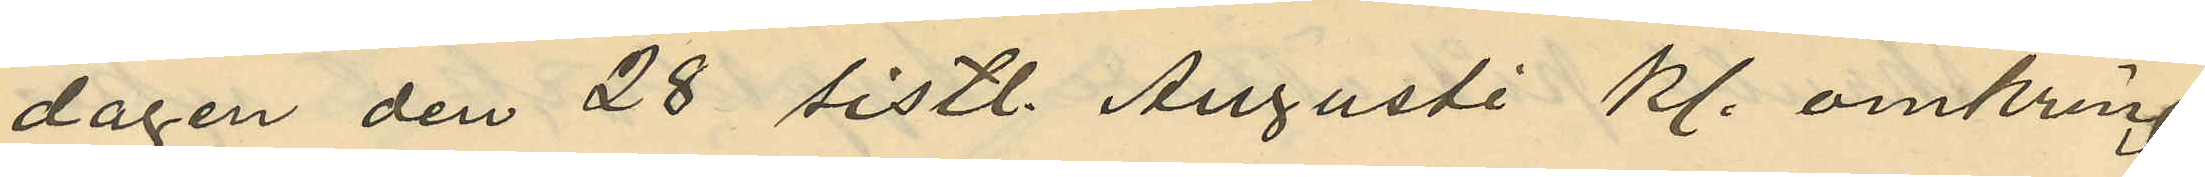dagen den 28 sistl. Augusti kl. omkring
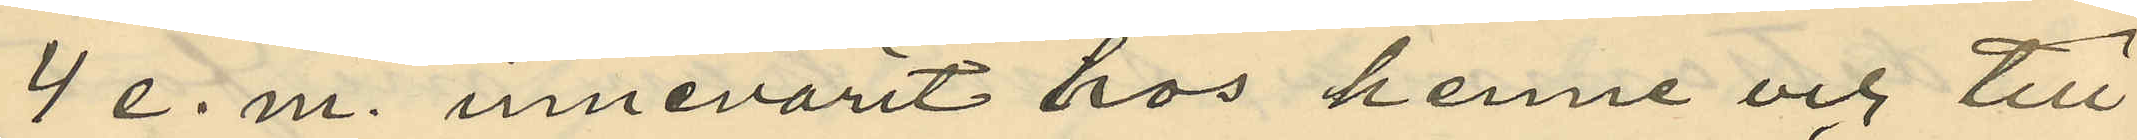4 e. m. innevarit hos henne och till
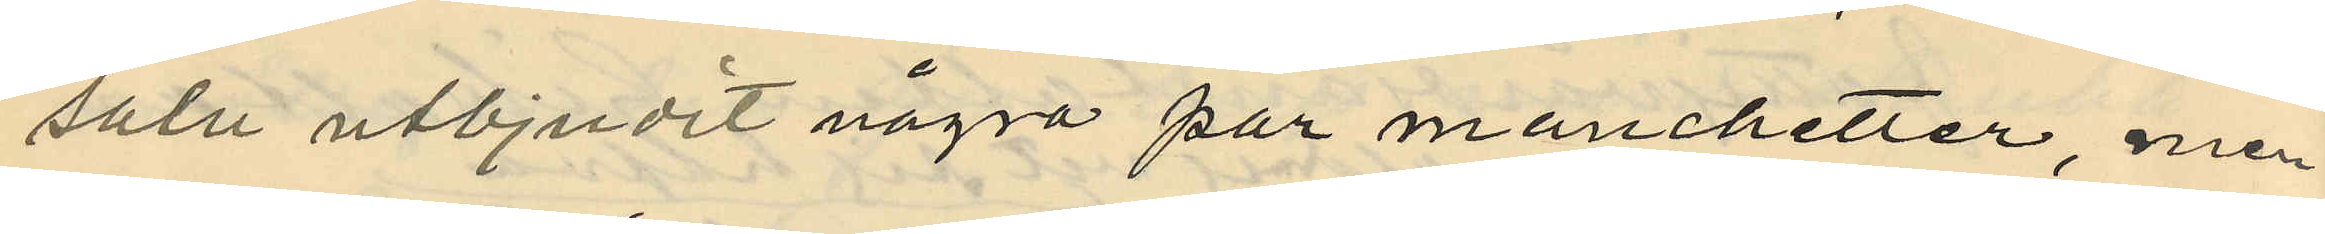salu utbjudit några par manchetter, men
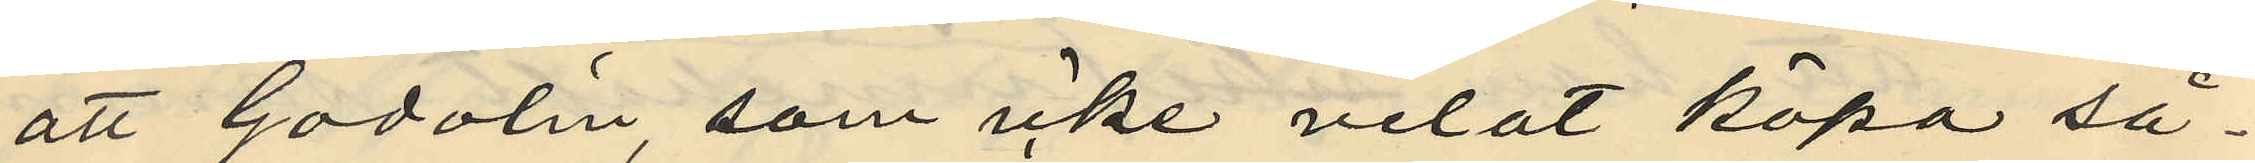att Gadolin som icke velat köpa så¬
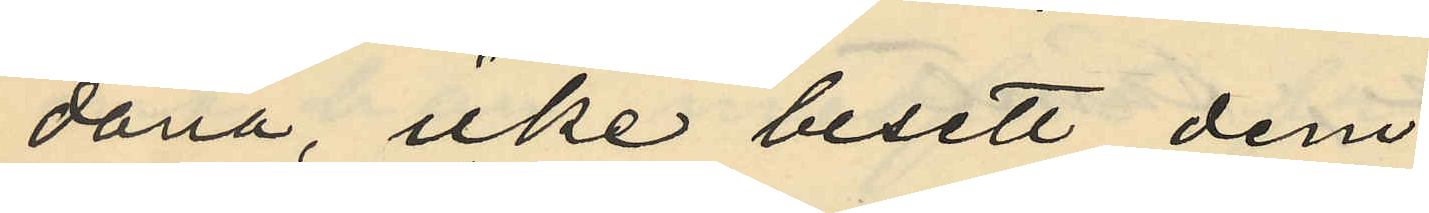dana, icke besett dem;
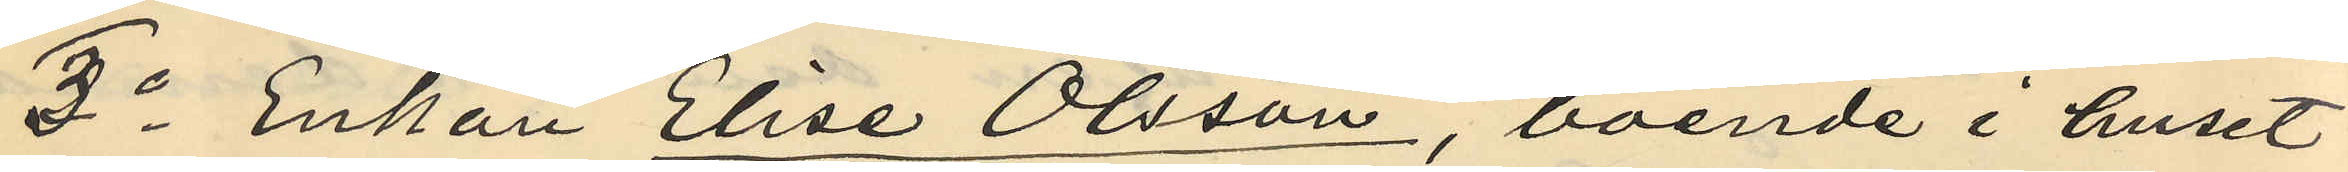2o Enkan Elise Olsson, boende i huset
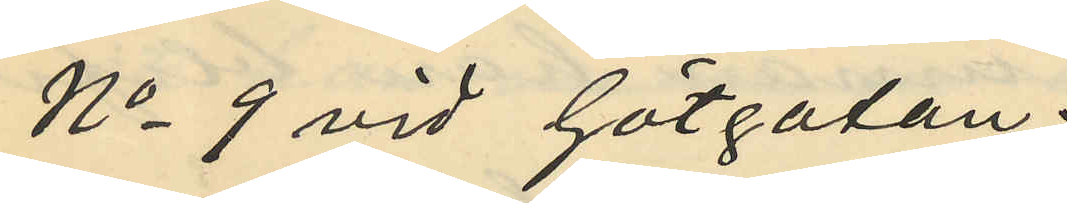No 9 vid Götgatan:
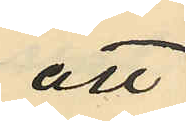att
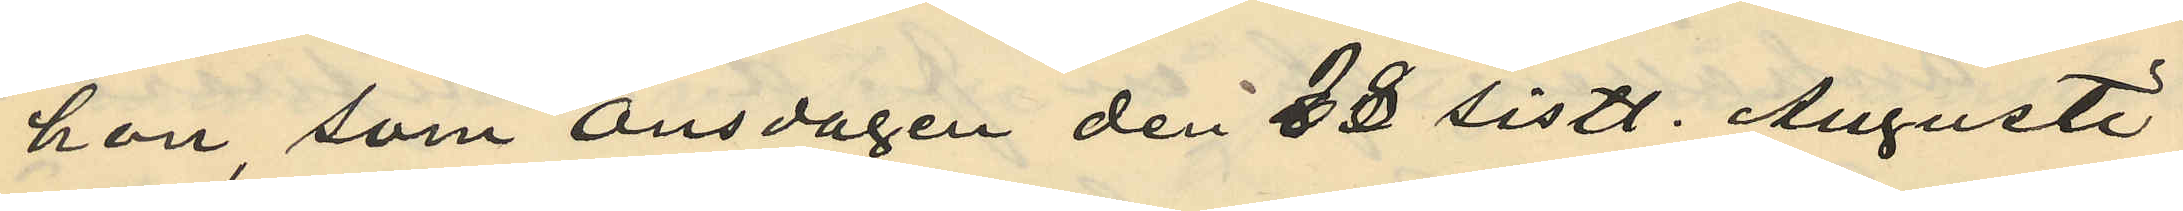hon som onsdagen den 28 sistl. Augusti
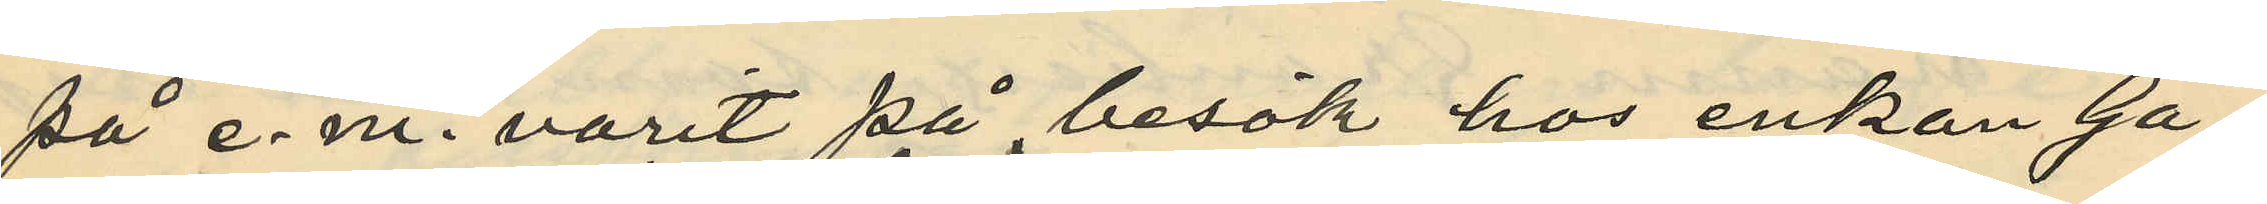på e. m. varit på besök hos enkan Ga¬
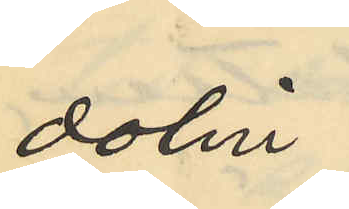dolin
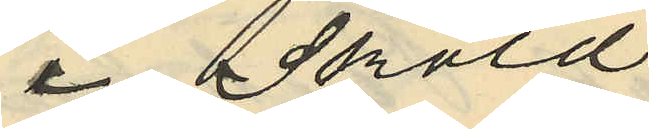i Sköld
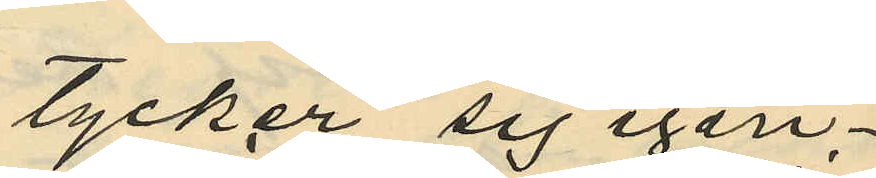tycker sig igen¬
